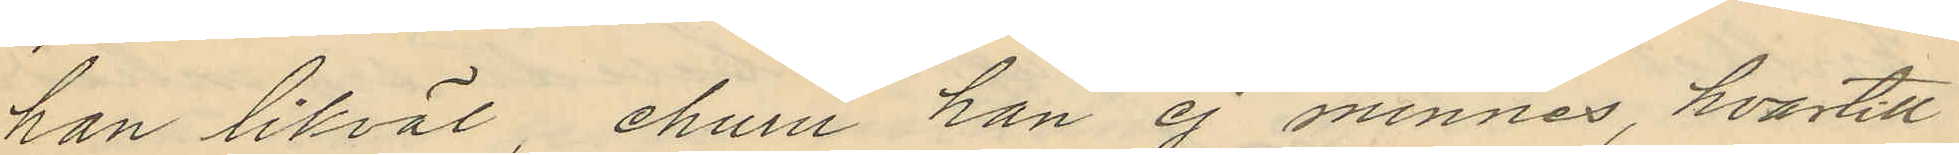han likväl, ehuru han ej minnes, hvartill
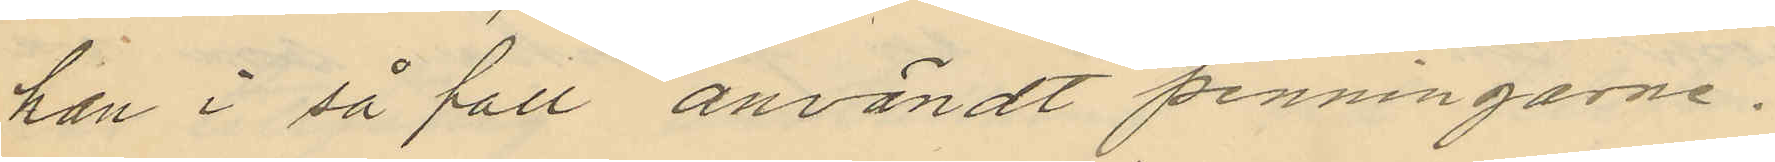han i så fått användt penningarne.
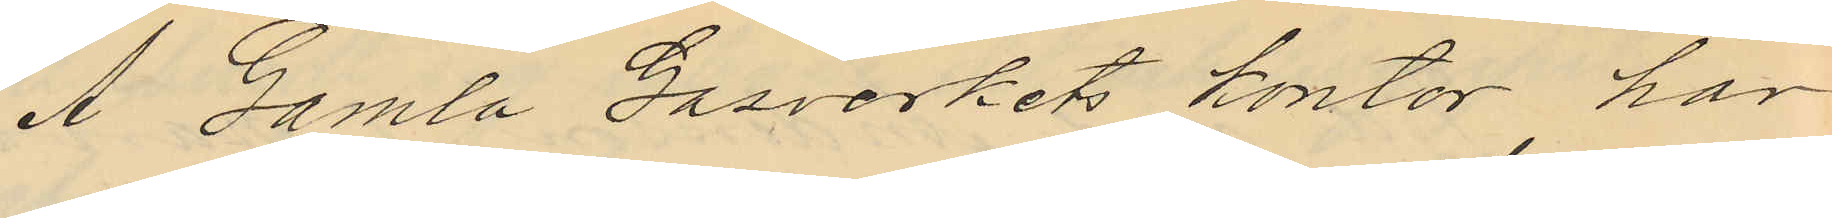Å Gamla Gasverkets kontor har
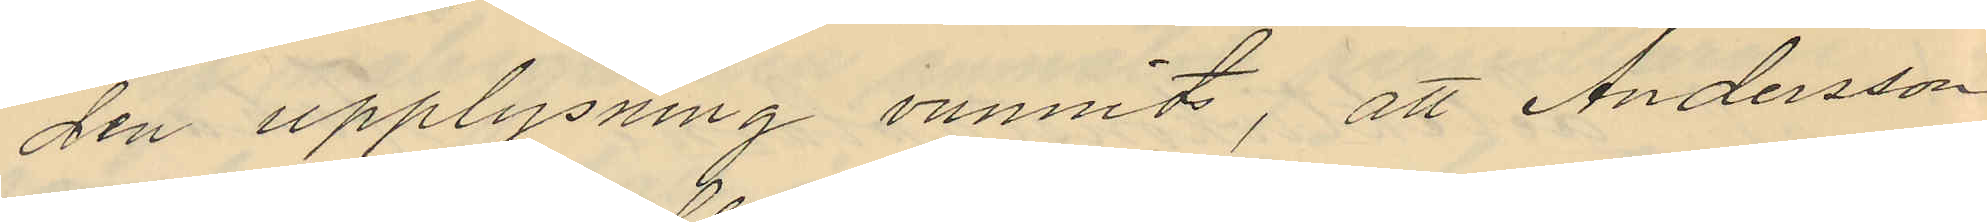den upplysning vunnits, att Andersson
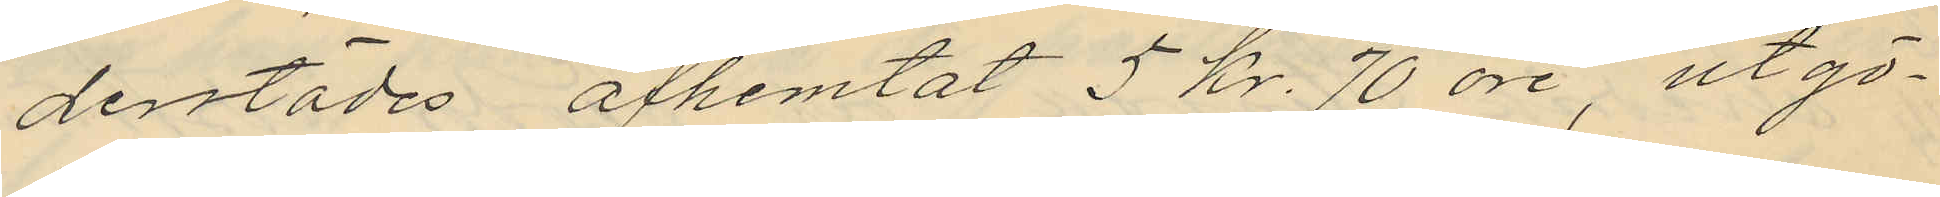derstädes afhemtat 5 kr. 70 öre, utgö¬
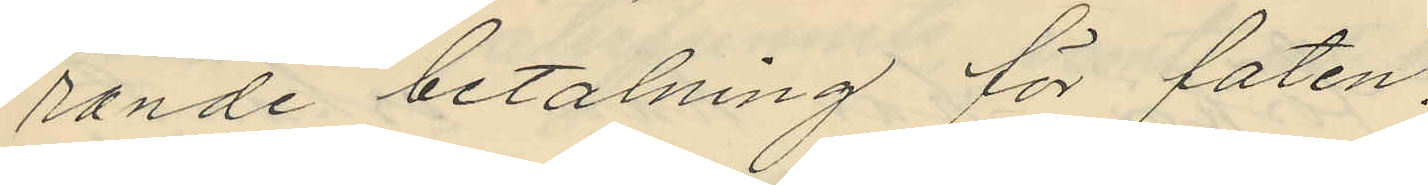rande betalning för faten,
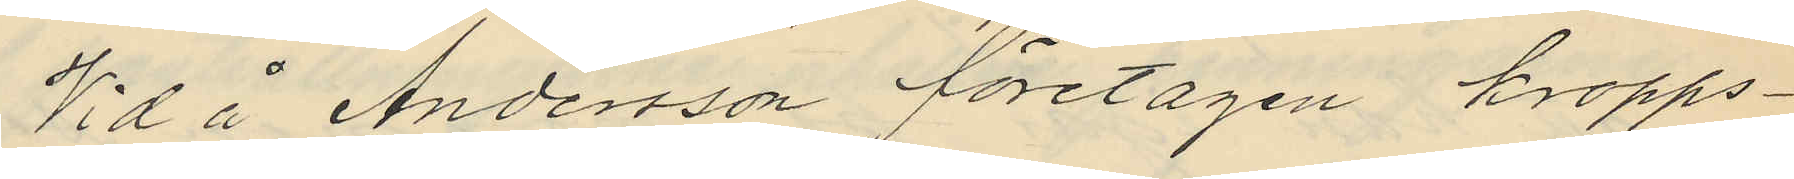Vid å Andersson företagen kropps¬
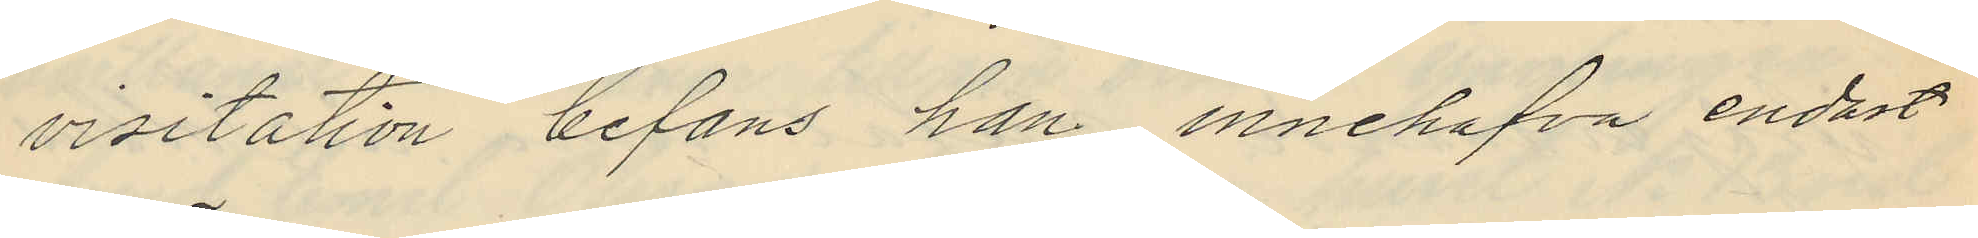visitation befans han innehafva endast
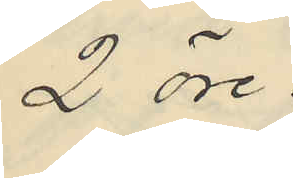2 öre.
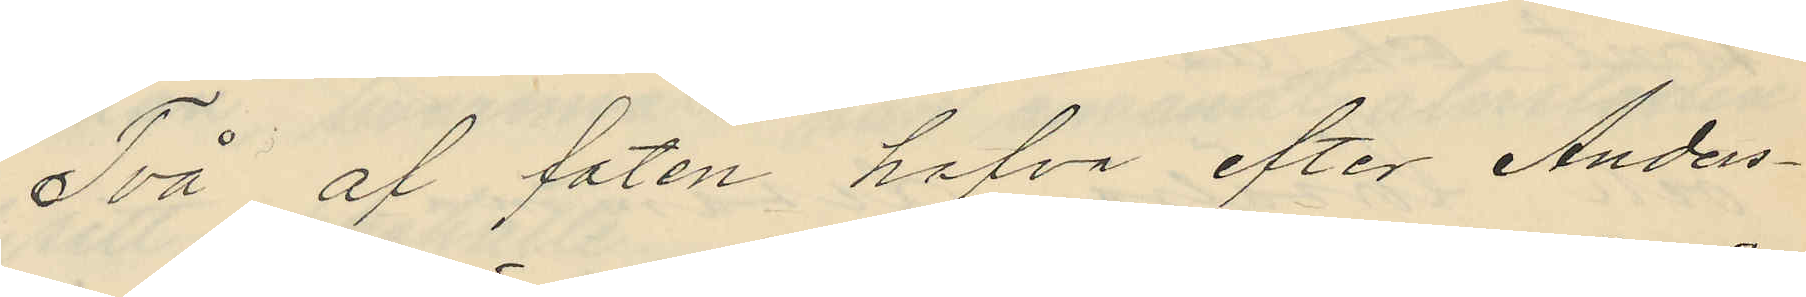Två af faten hafva efter Anders¬
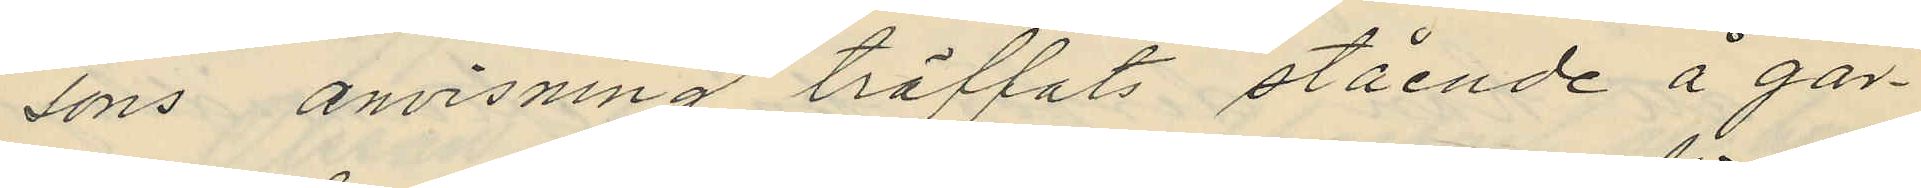sons anvisning träffats stående å går¬
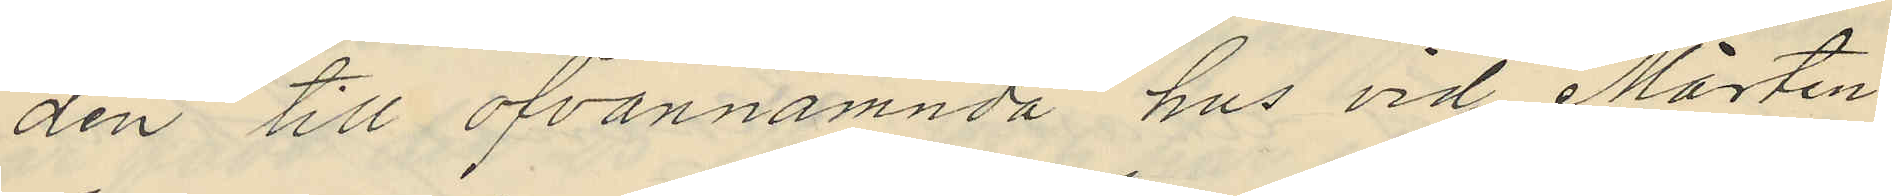den till ofvannämnda hus vid Mårten
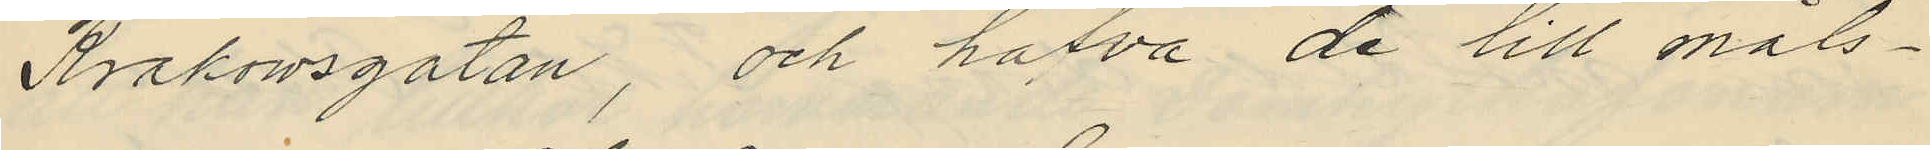Krakowsgatan, och hafva de till måls¬
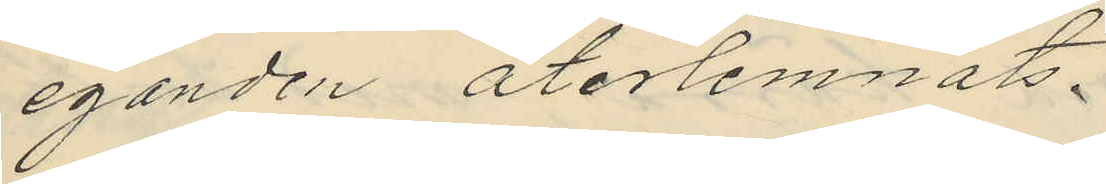eganden återlemnats.
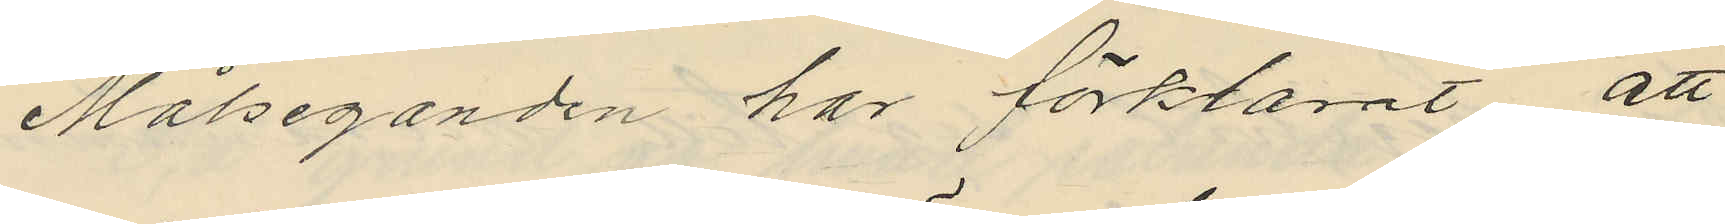Målseganden har förklarat att
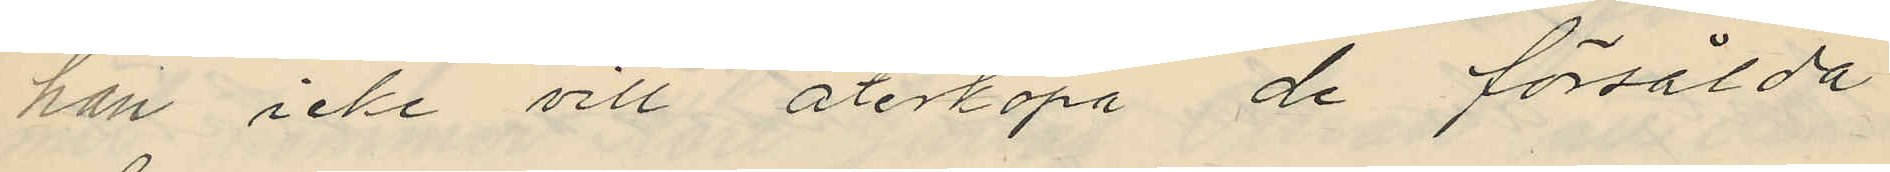han icke vill återköpa de försålda
